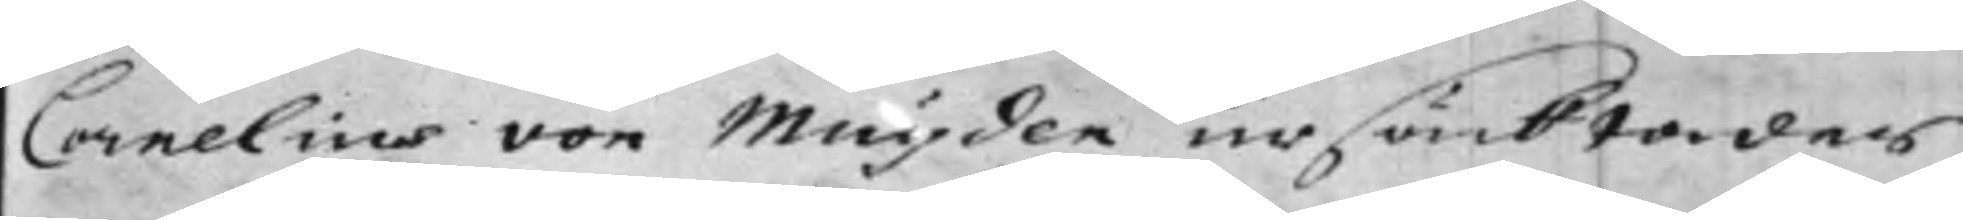Cornelius von Muyden ursäcktades
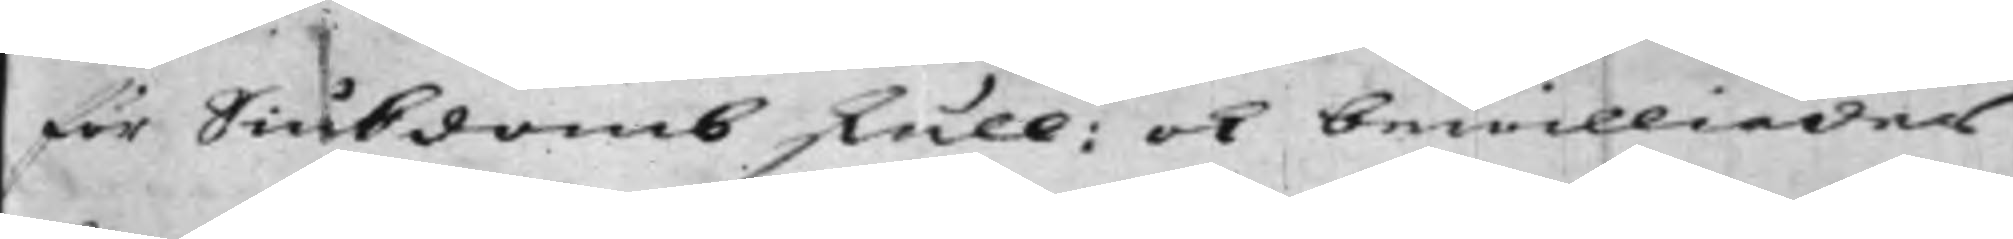för Siukdomb skull: ok bewilliades
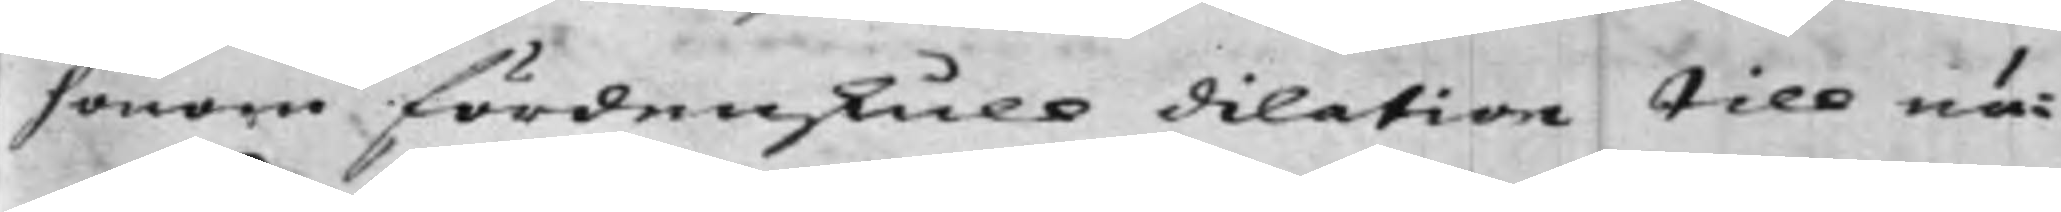honom fördenskull dilation till nä¬
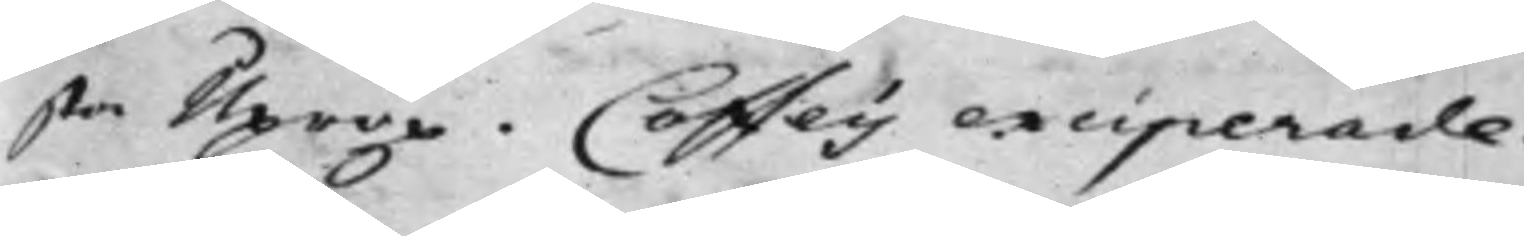sta Uprop. Coffey exciperade.
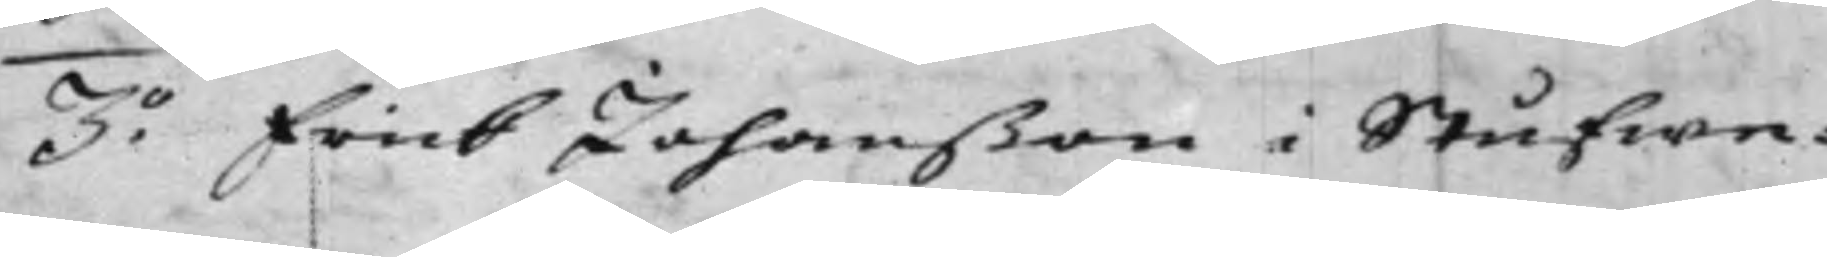3.o Erick Johanßon i Stufwe¬
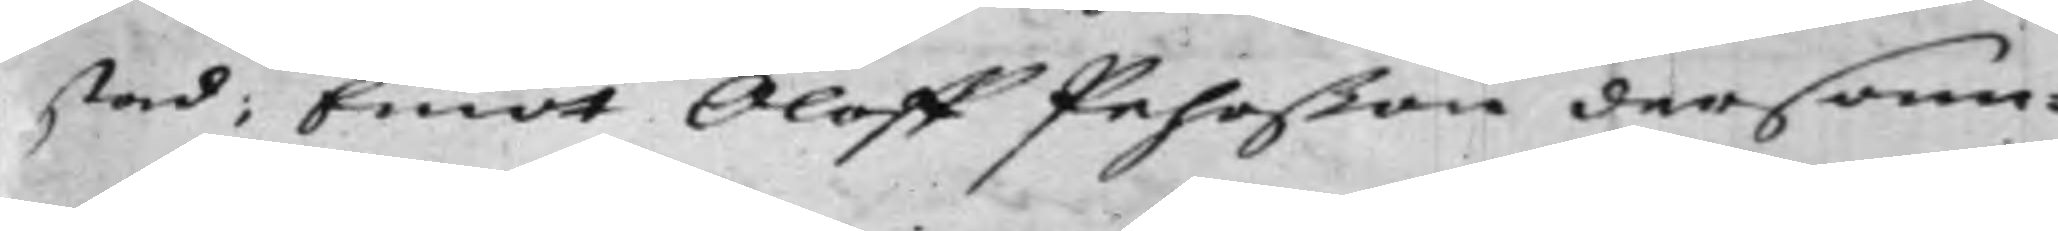stad; Emot Oloff Pehrßon dersam¬
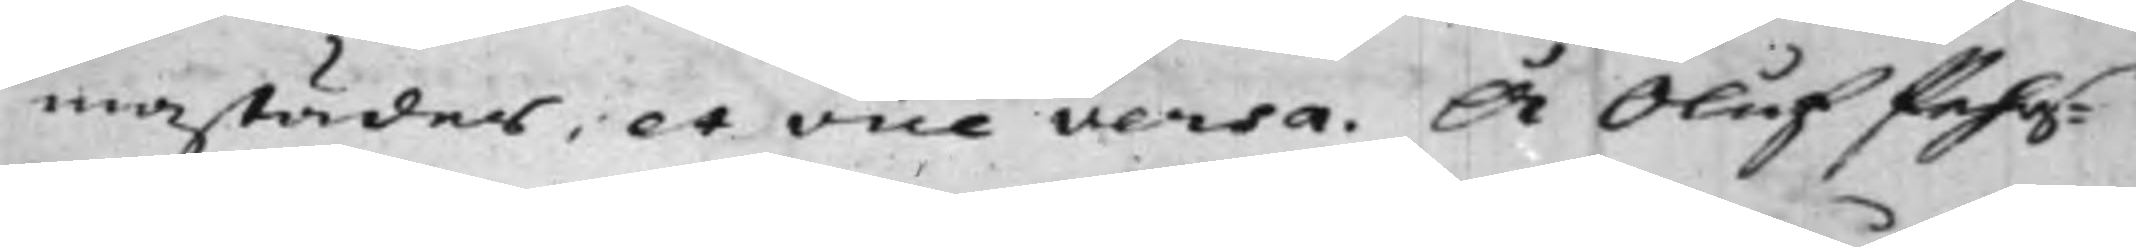mastädes, et vice versa. Å Oluf Pehrs¬
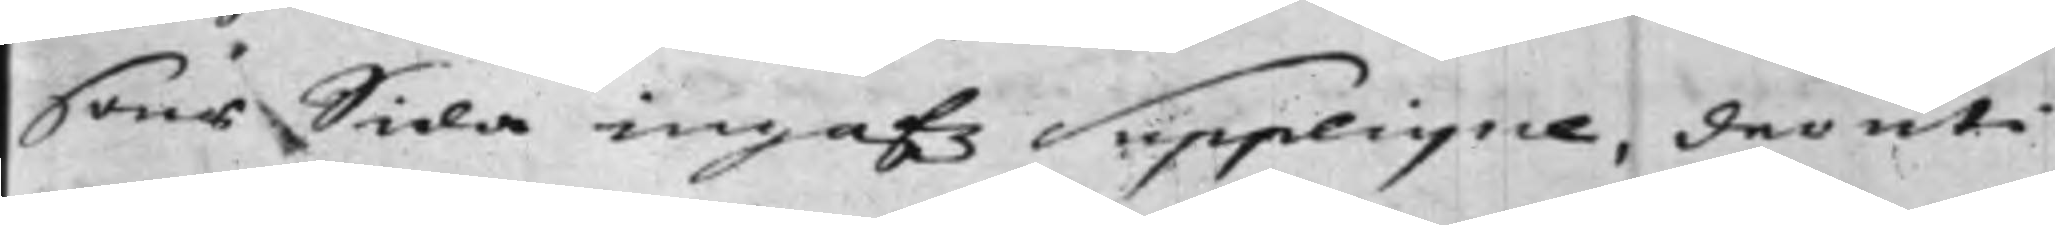sons Sida ingafz Supplique, deruti
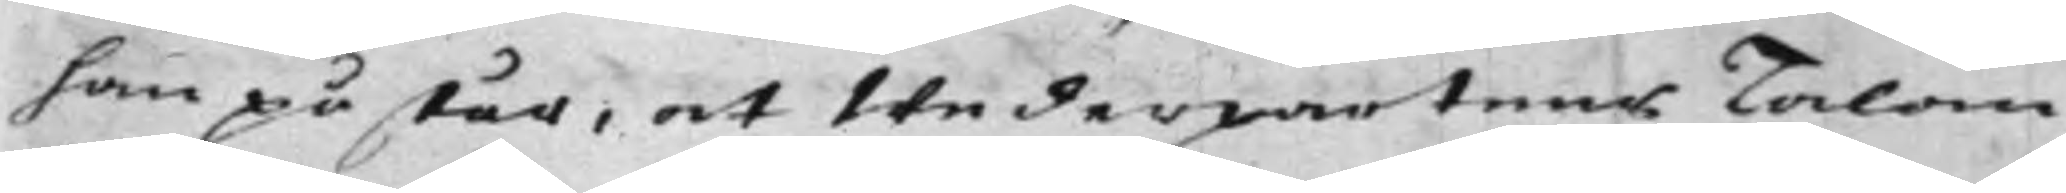han påstår, at Wederpartens Talan
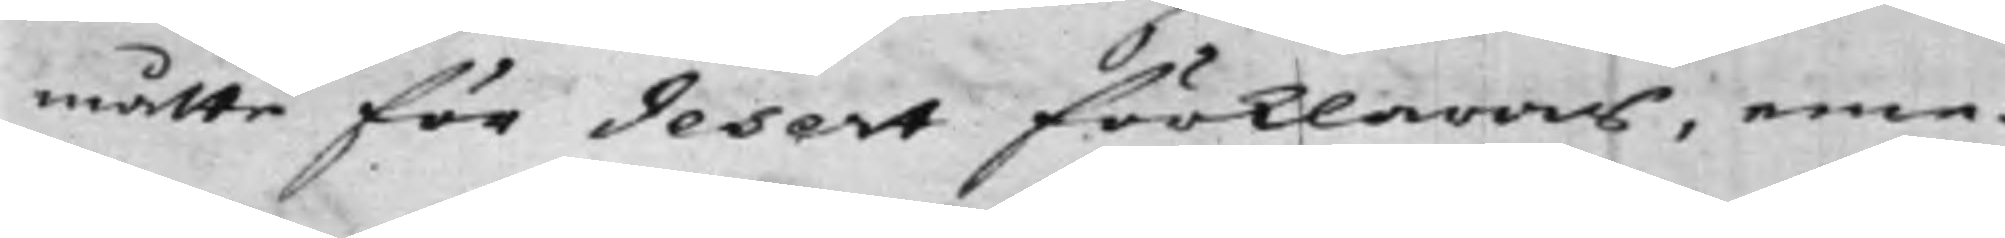måtte för desert förklaras, eme¬
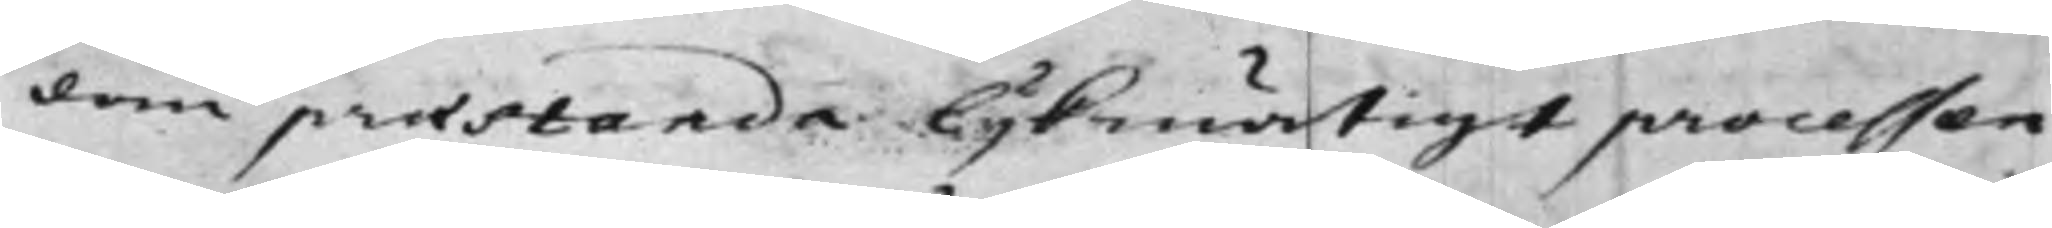dan praestanda lijkmätigt processen
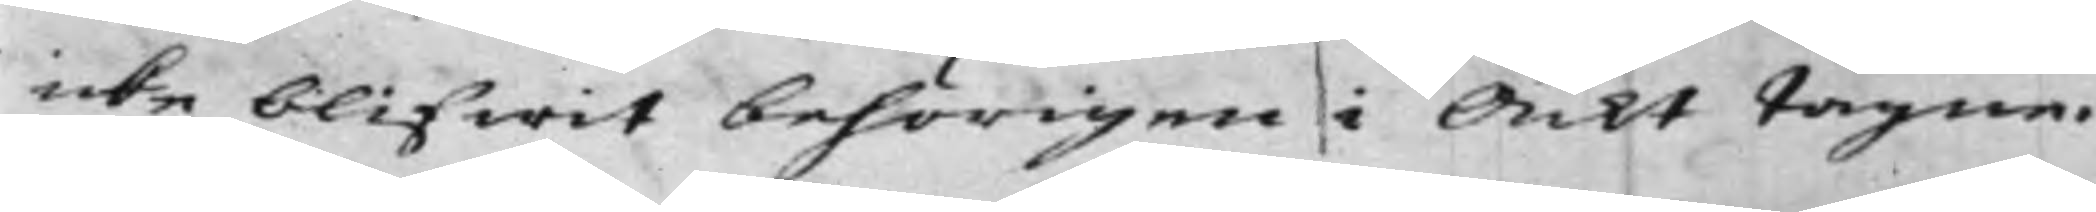icke blifwit behörigen i Ackt tagne.
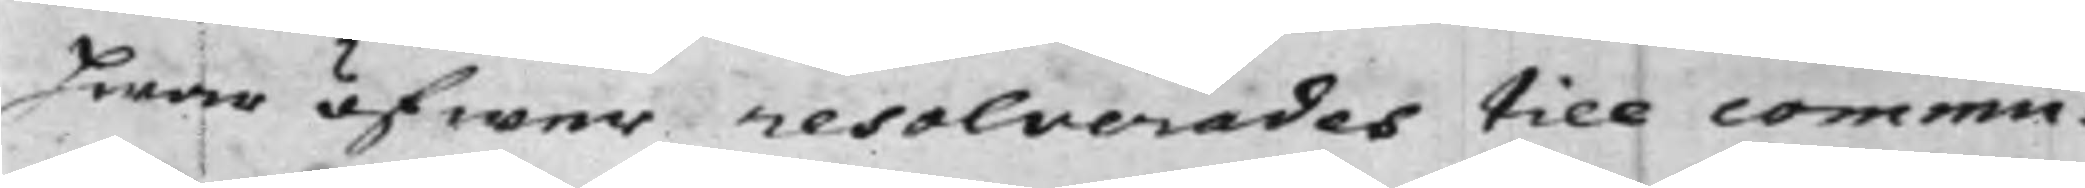Hwar öfwer resolverades till commu¬
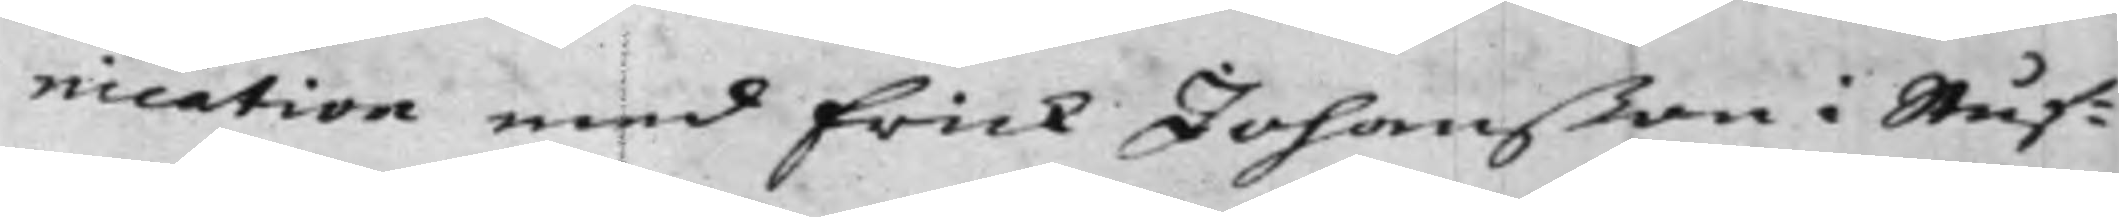nication med Erick Johanßon i Stuf¬
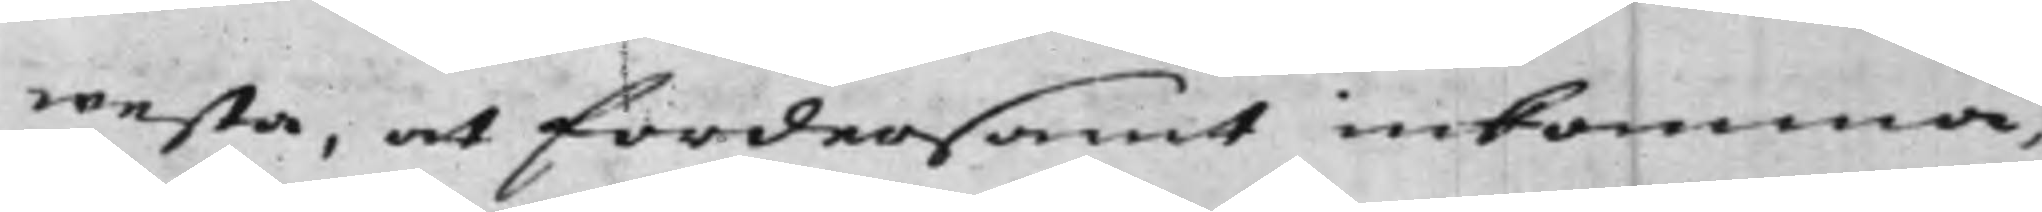westa, at fordersamt inkomma,
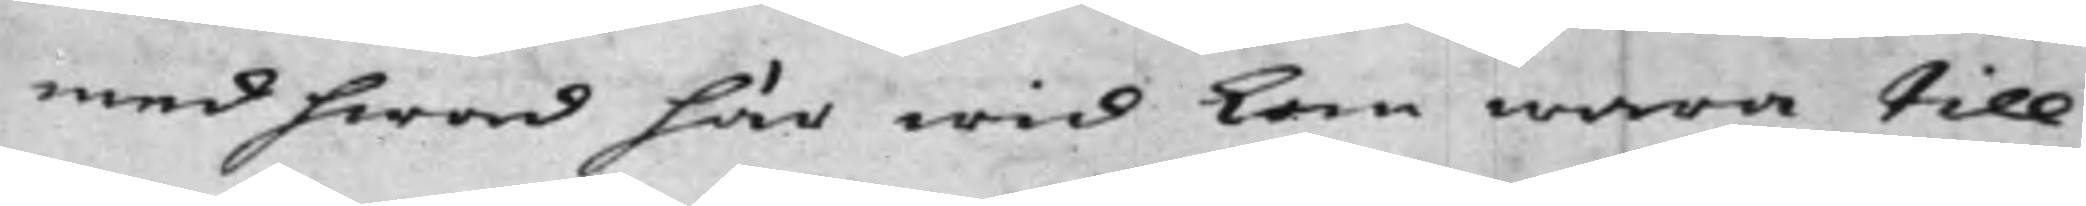med hwad här wid kan wara till
